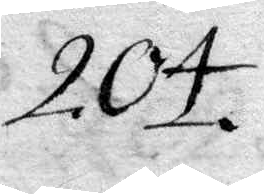204.
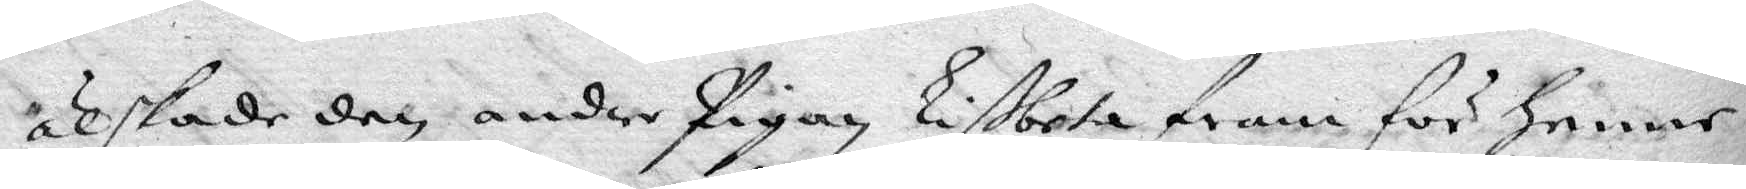älskade den andre Pigan Lißbeta fram för henne.
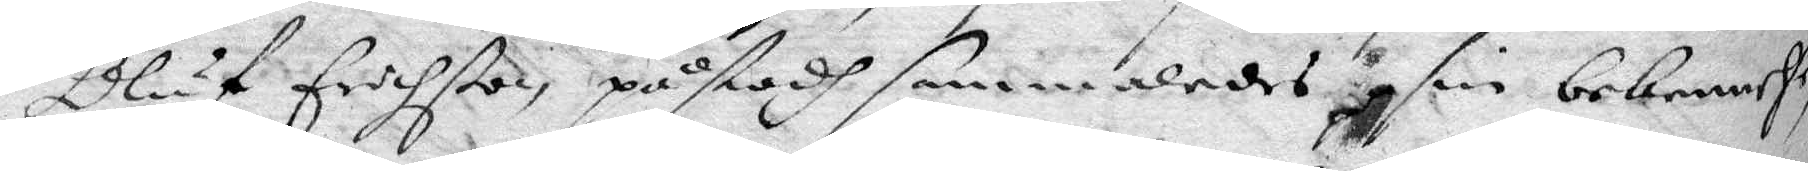Oluf Erichßon påstodh sammaledes sin bekennelse
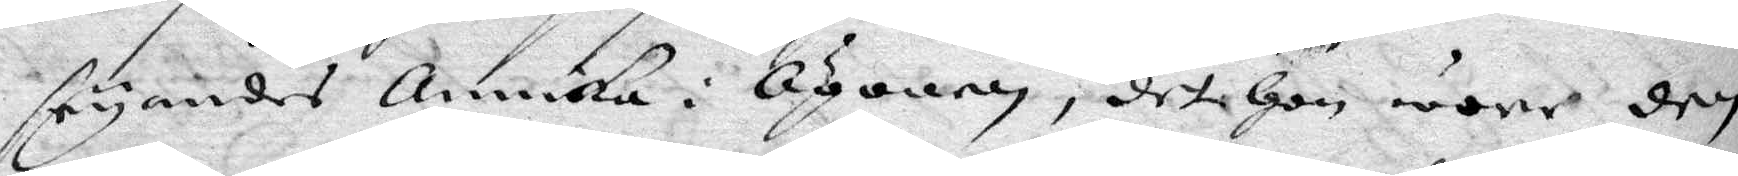säyandes Annika i Ögonen, det hon wore den
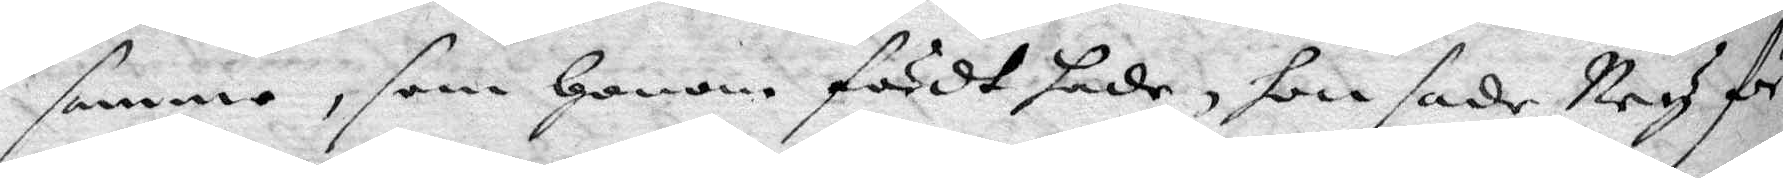samme, som honom fördt hade, hon sade Ney för
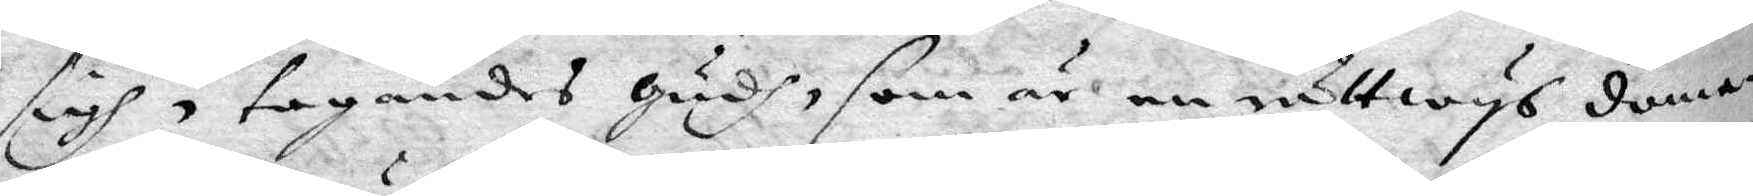sigh, tagandes gudh, som är en rättwys doma¬
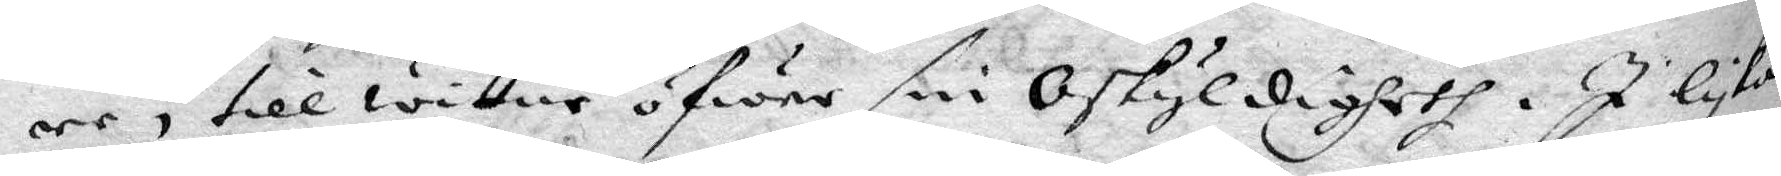re, till wittne öfwer sin Oskyldigheth. I lyka
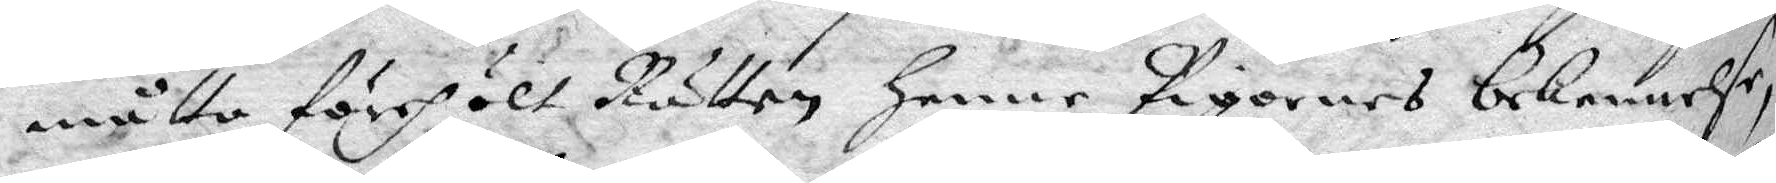måtto förehölt Rätten henne Pigornes bekennelse,
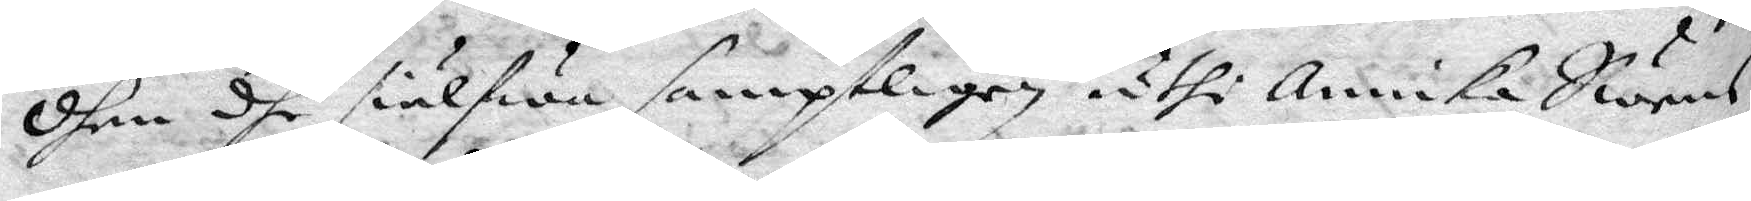dhen dhe siälfwa samptligen uthi Annika Swens¬
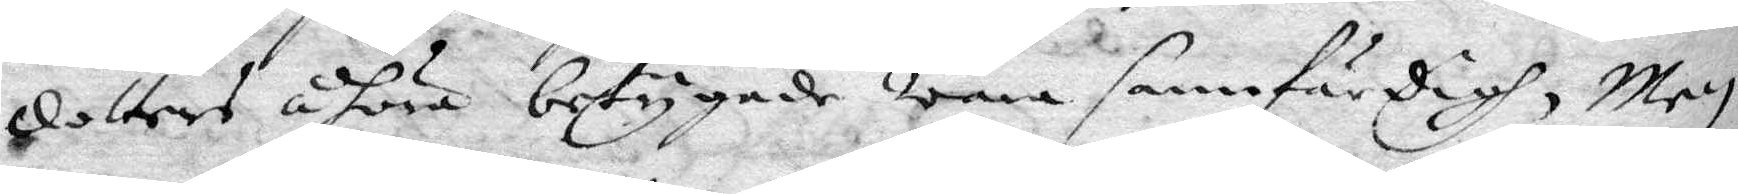dotters åhöro betygade wara sannfärdigh, Men
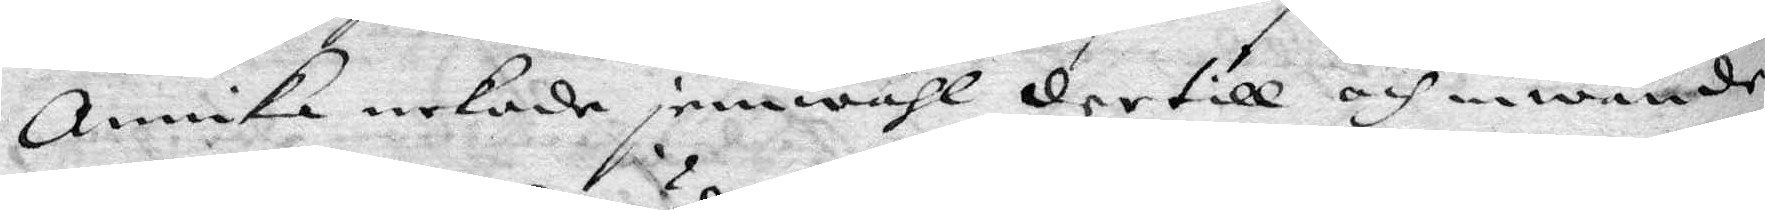Annika nekade jemwähl dertill och inwände
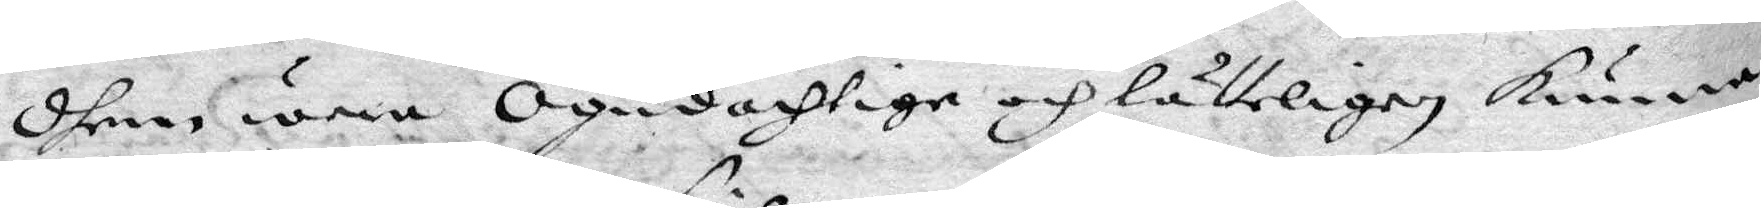dhem wara Ogudachtige och lätteligen kunna
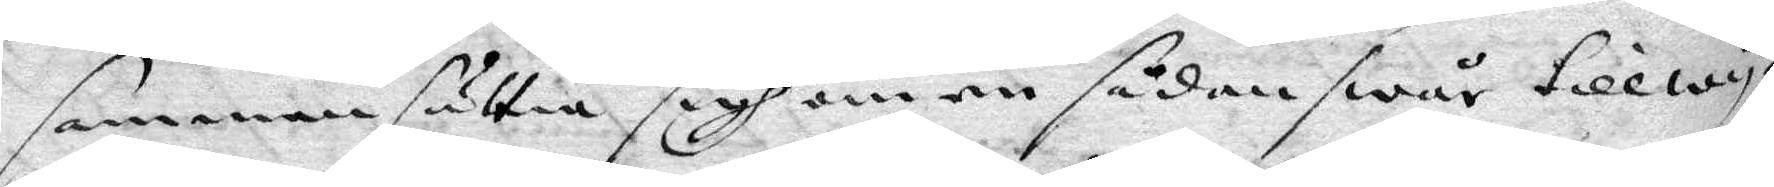sammansättia sigh om en sådan swår tillwy¬
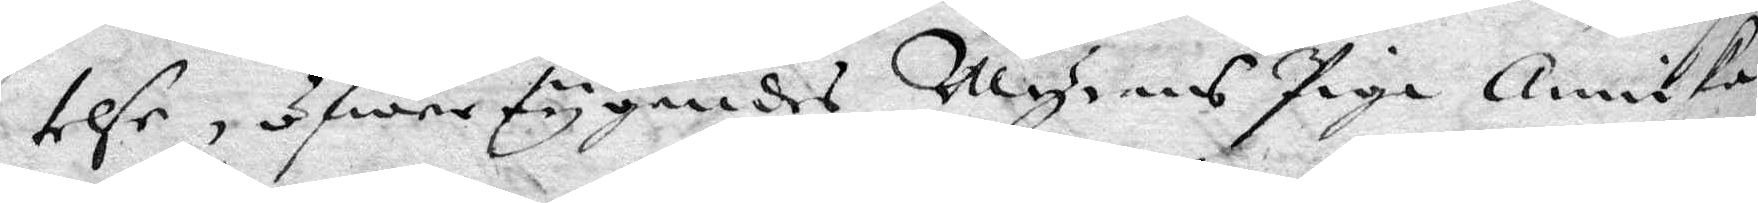telse, öfwertygandes Myrans Piga Annika
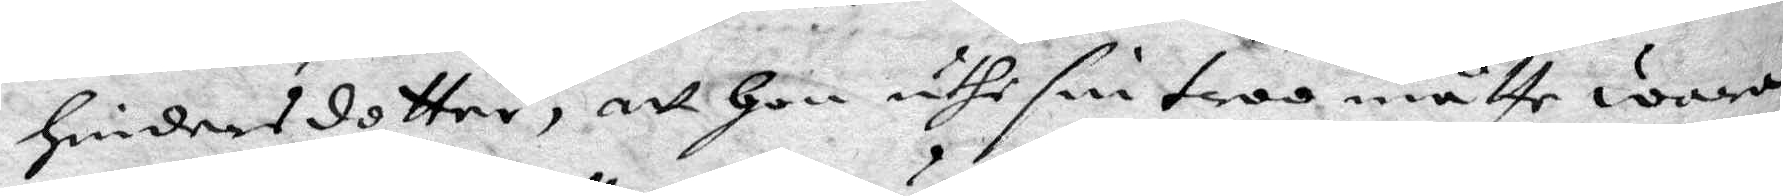hindersdotter, att hon uthi sin troo måtte wara
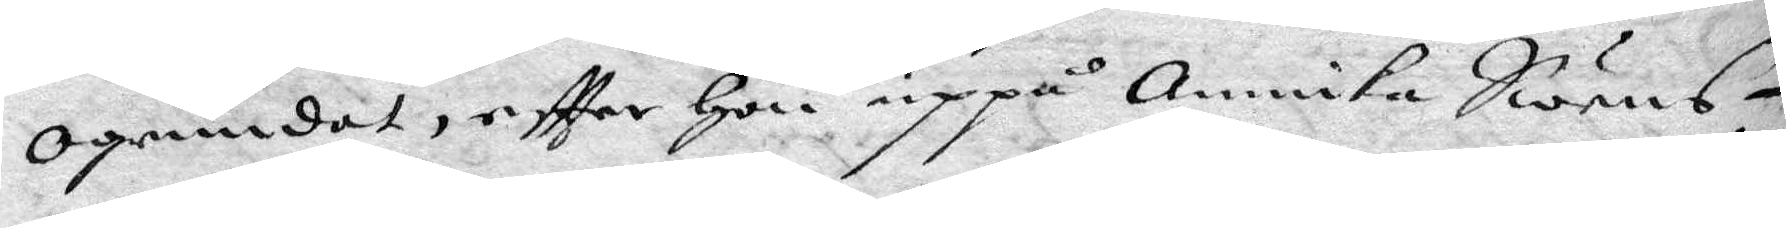Ogrundat, eftter hon uppå Annika Swens¬
